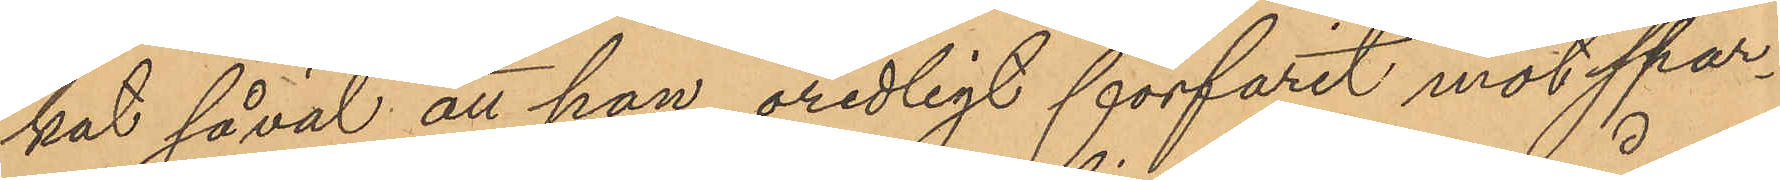kat såväl att han oredligt förfarit mot spar¬
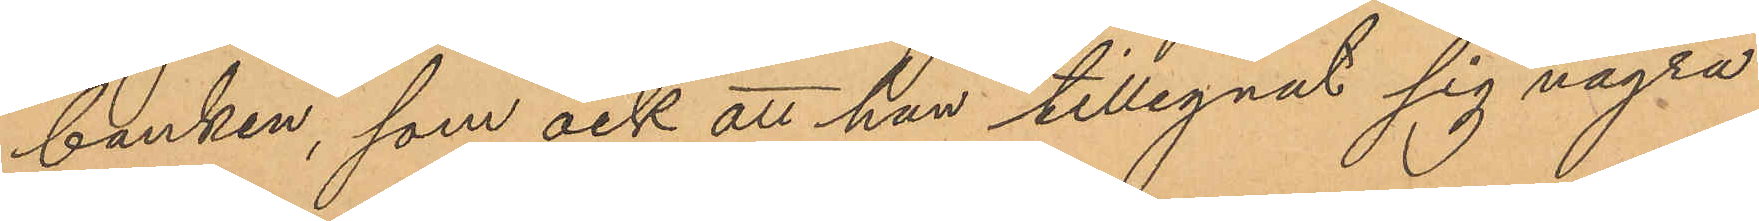banken, som ock att han tillegnat sig några
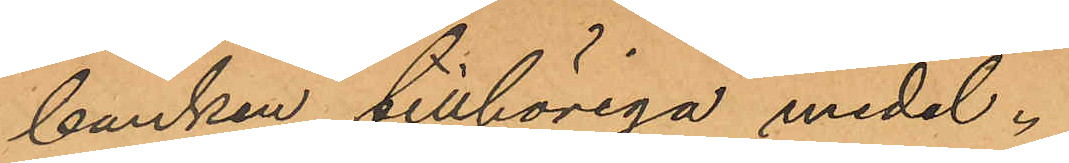banken tillhöriga medel.
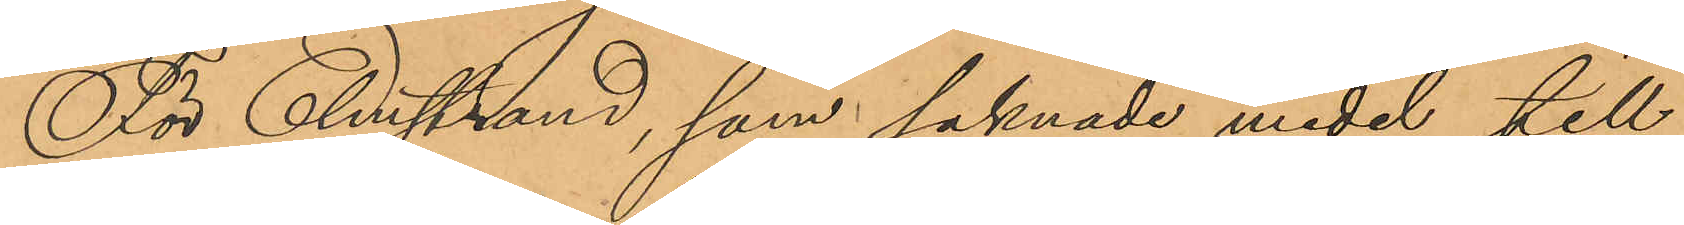För Elmstrand, som saknade medel till
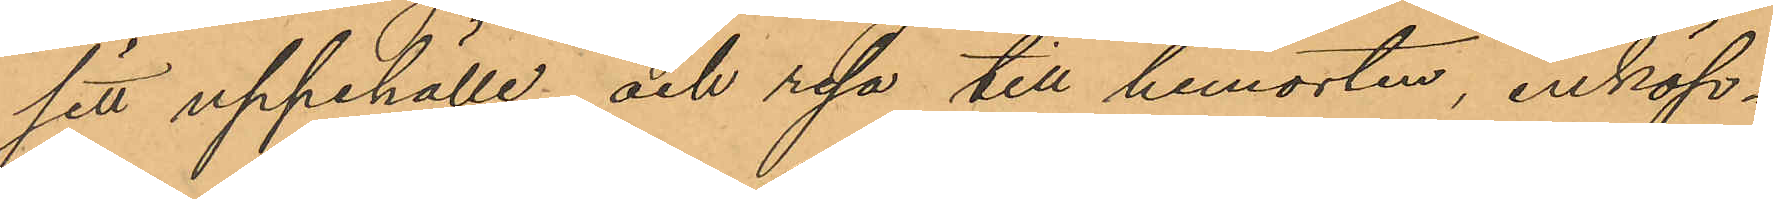sitt uppehälle och resa till hemorten, inköp¬
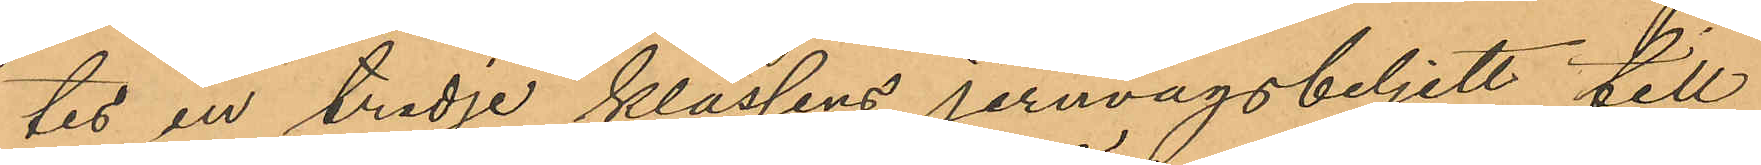tes en tredje klassens jernvägsbiljett till
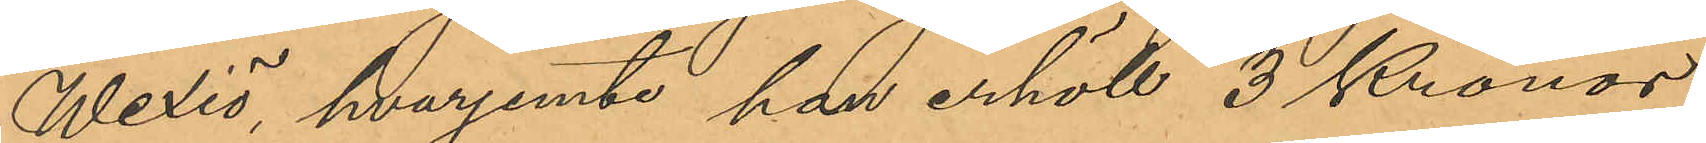Wexiö, hvarjemte han erhöll 3 Kronor
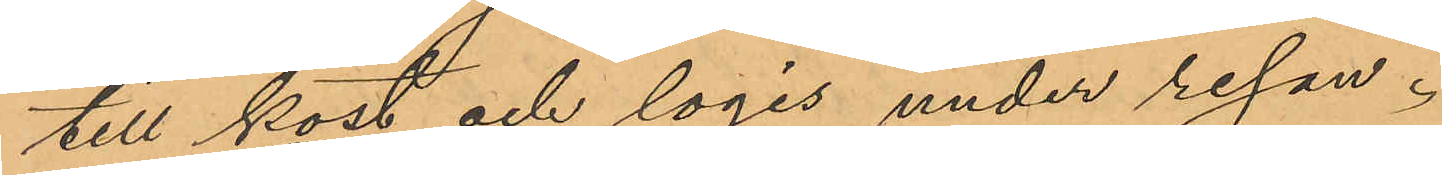till kost och logis under resan.
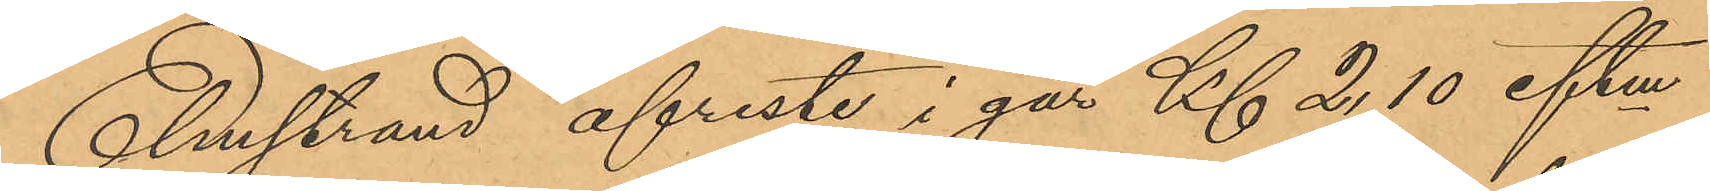Elmstrand afreste i går Kl 2,10 eftm
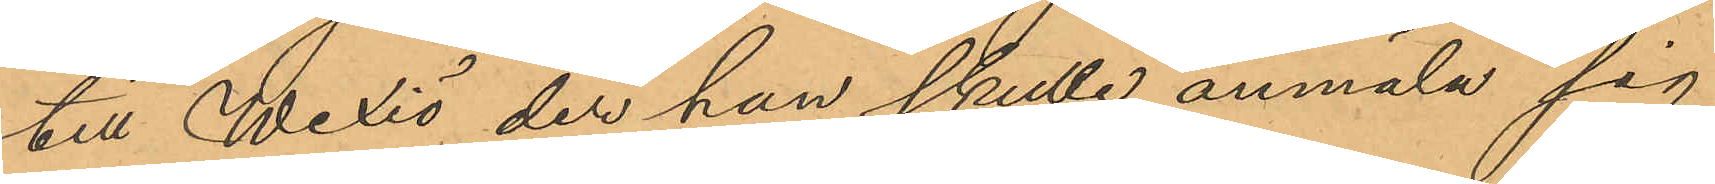till Wexiö, der han skulle anmäla sig
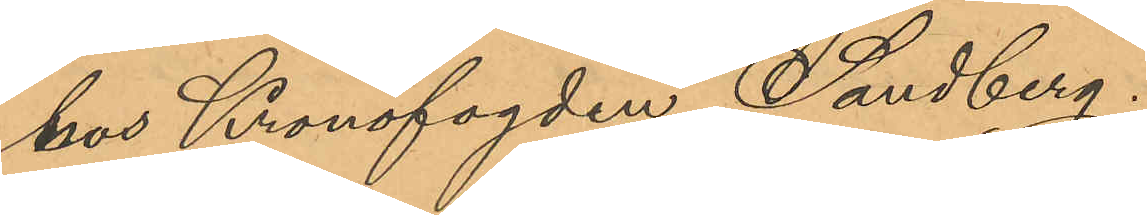hos Kronofogden Sandberg.
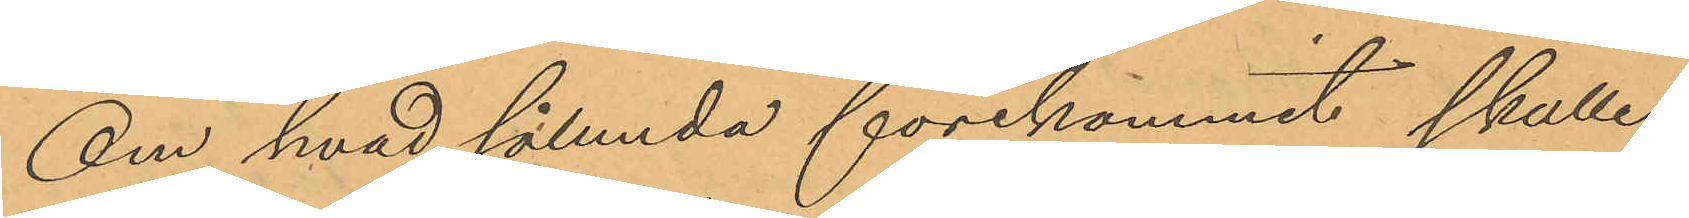Om hvad sålunda förekommit skulle
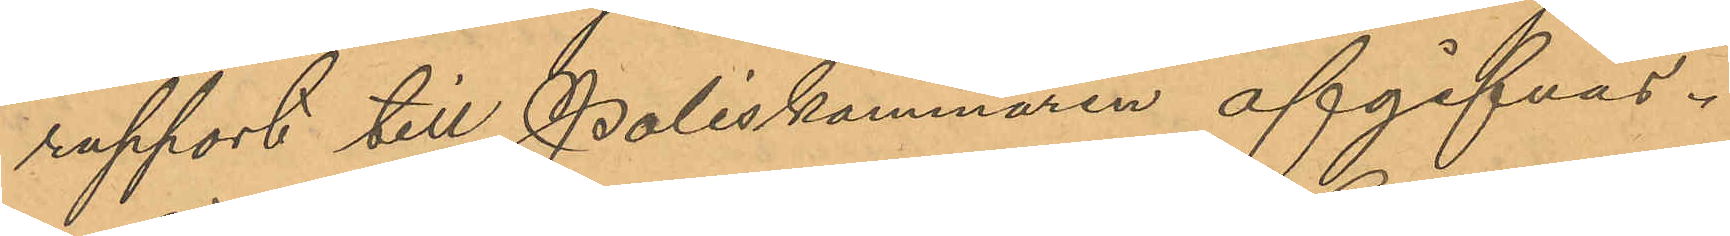rapport till Poliskammaren afgifvas.
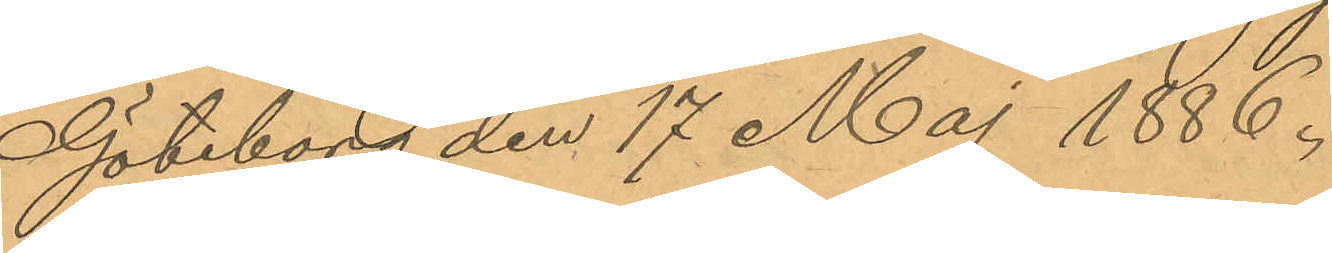Göteborg den 17 Maj 1886.
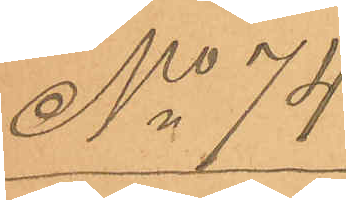No 74.
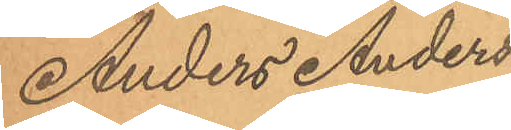Anders Anders¬
